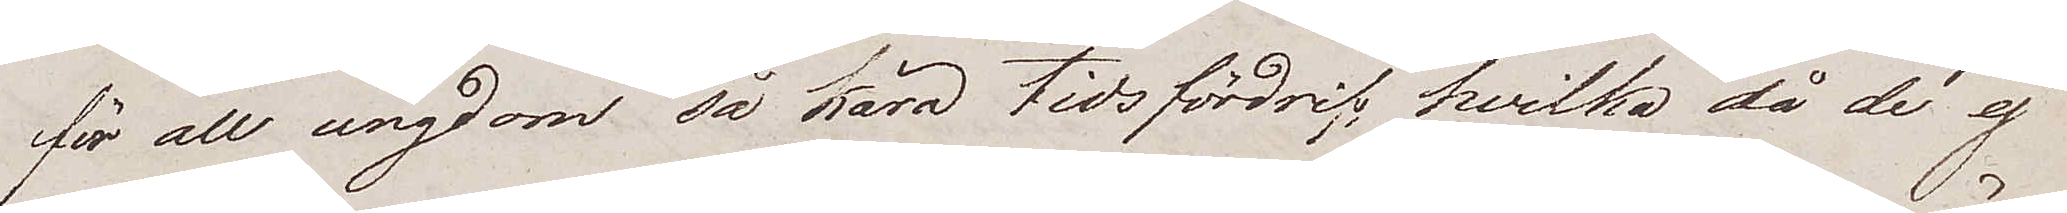för all ungdom så kära tidsfördrif, hvilka då de ej
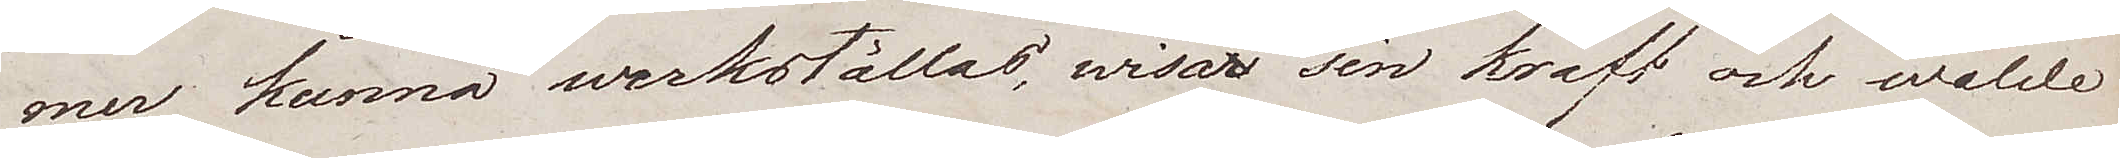mer kunna werkställas, wisar sin kraft och wälde
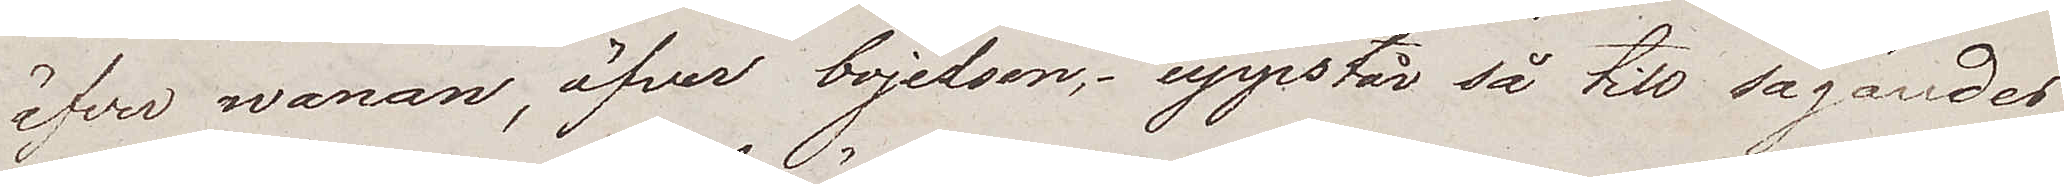öfver wanan, öfver bojelsen, uppstår så till sägandes
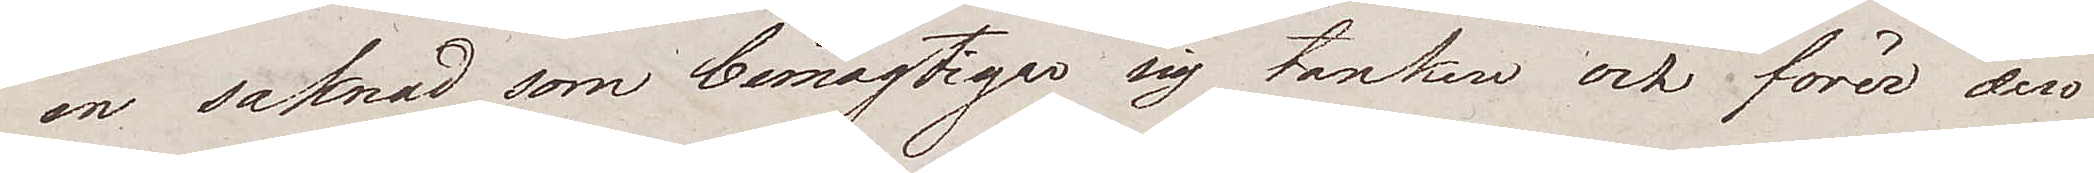en saknad som bemägtigar sig tanken och förer den
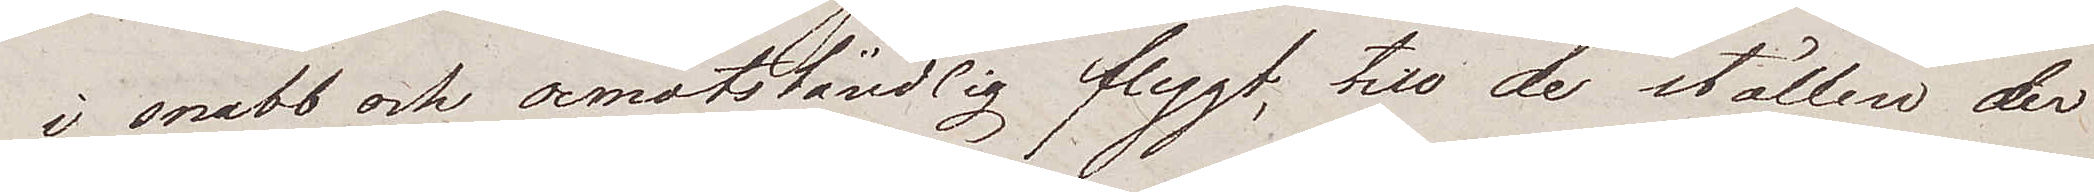i snabb och oemotståndlig flygt, till de ställen der
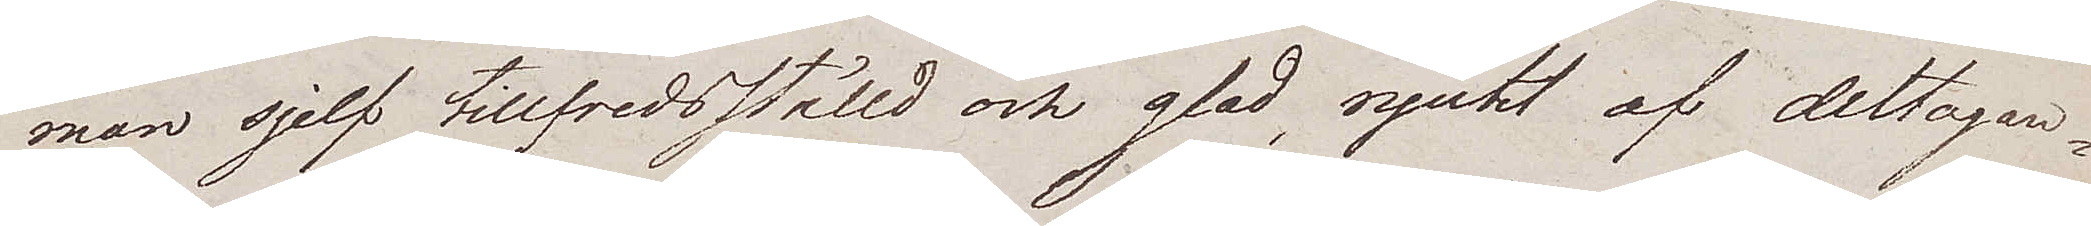man sjelf tillfredsställd och glad, njutit af deltagan¬
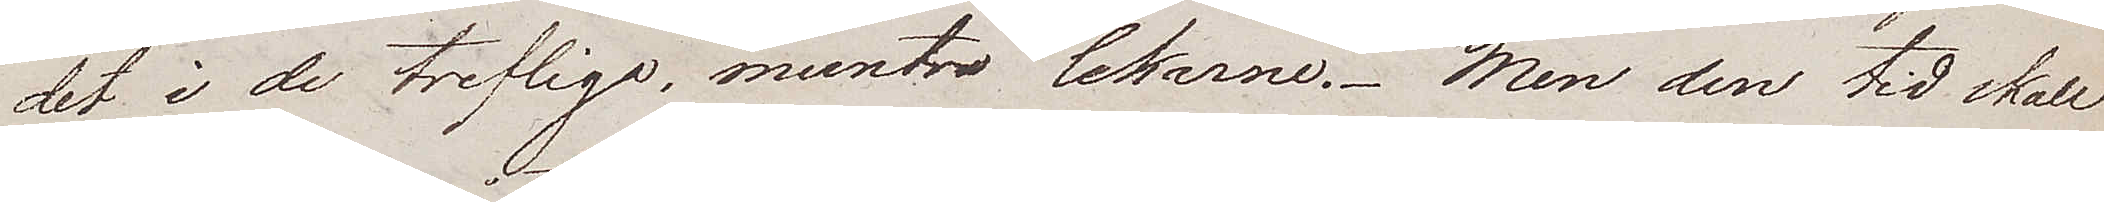det i de trefliga, muntra lekarne. Men den tid skall
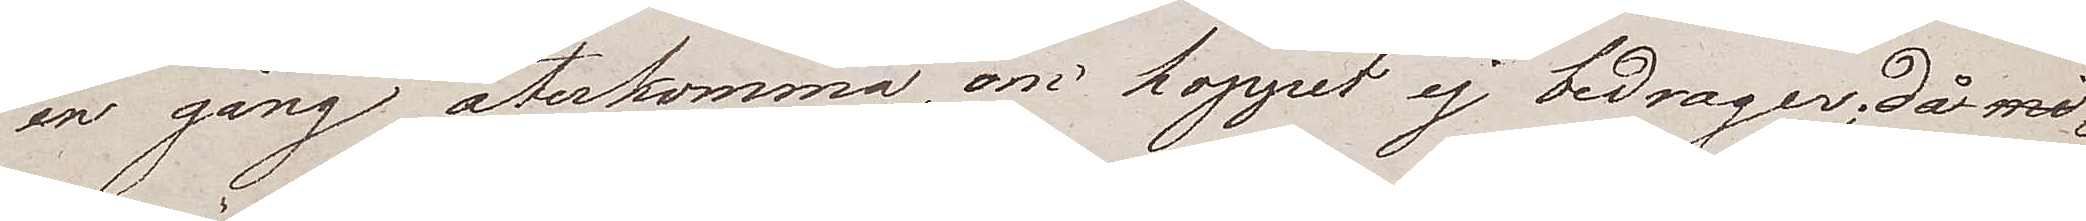en gång återkomma, om hoppet ej bedrager; då mi¬
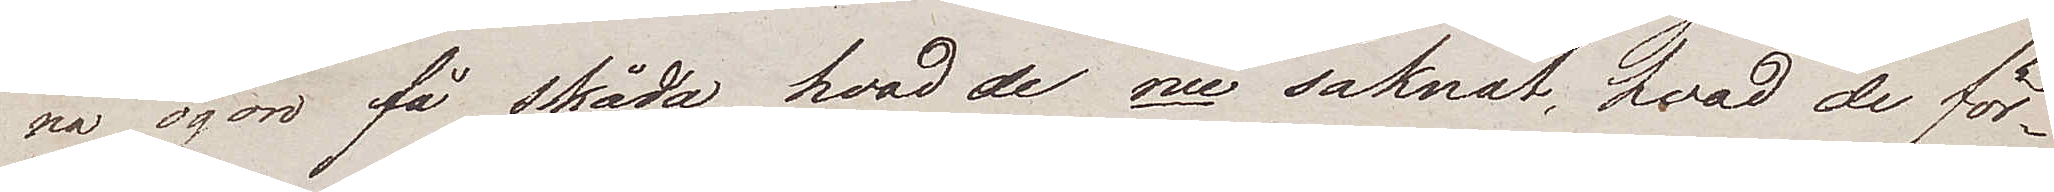na ögon få skåda, hvad de nu saknat, hvad de för¬
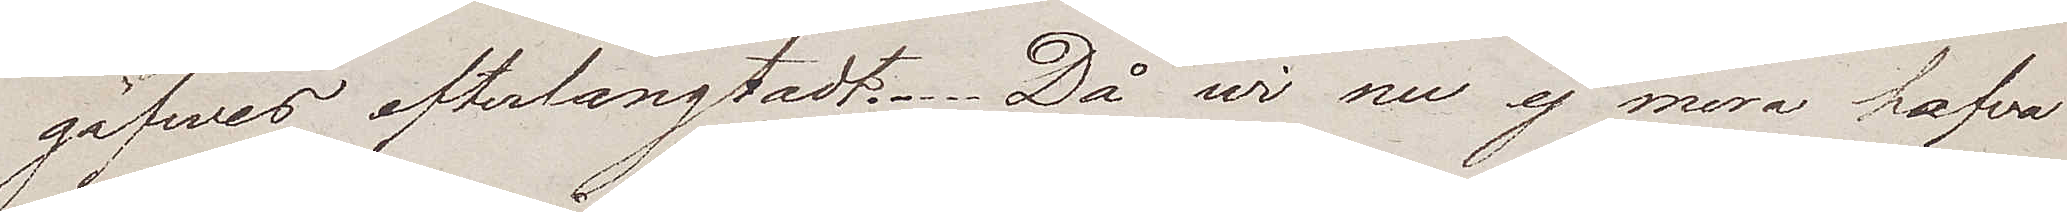gäfwes efterlängtadt. Då wi nu ej mera hafva
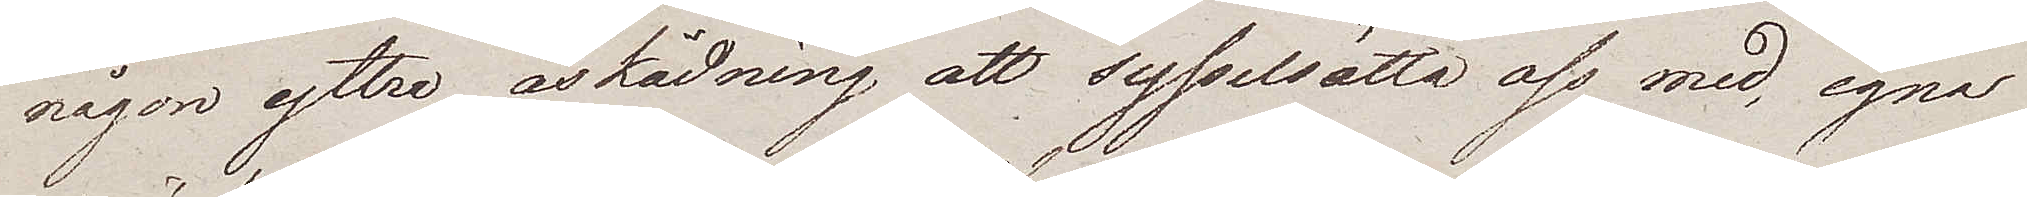någon yttre åskådning att sysselsätta oss med, egna
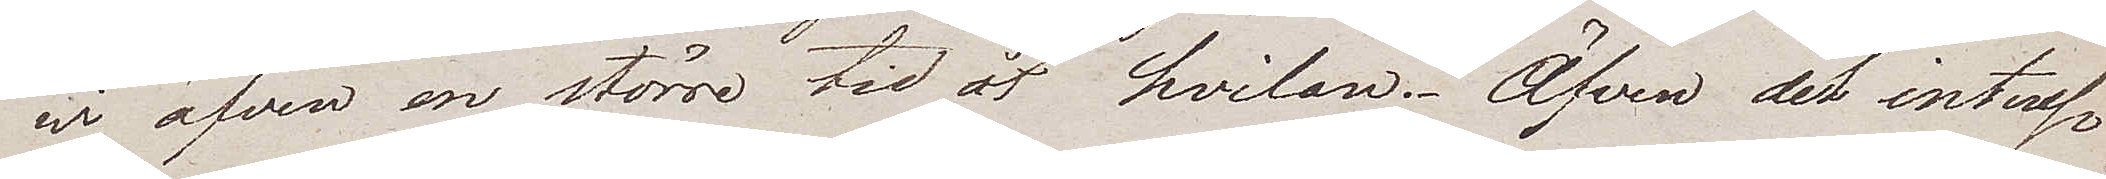wi äfven en större tid åt hvilan. Äfven det intres¬
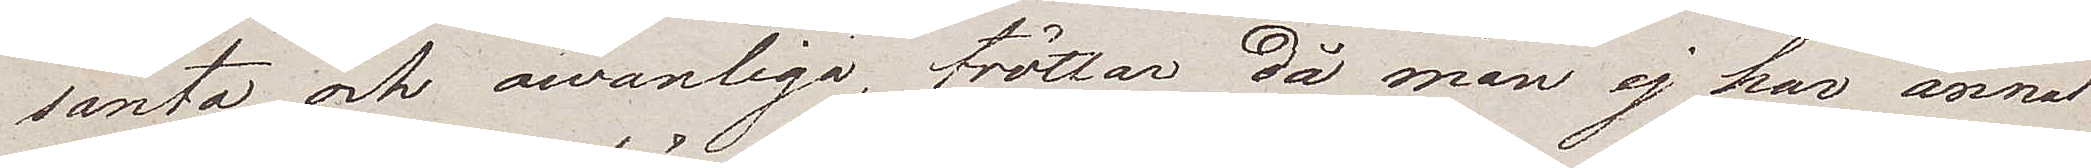santa och owanliga, tröttar då man ej har annat
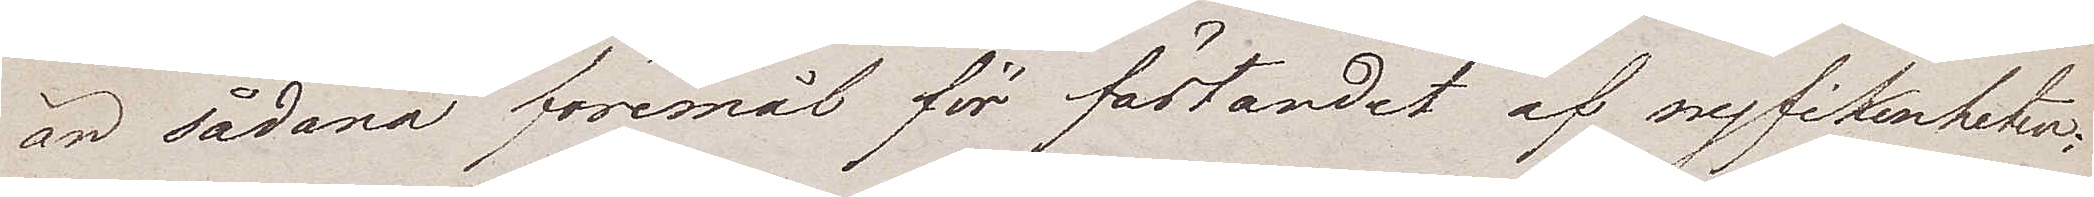än sådana föremål för fästandet af nyfikenheten.
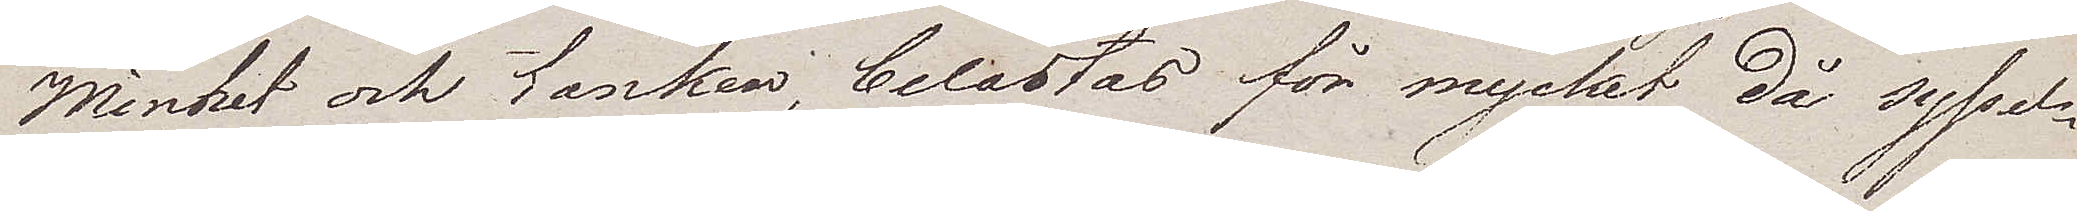Minhet och tanken, belastas för mycket då syssel¬
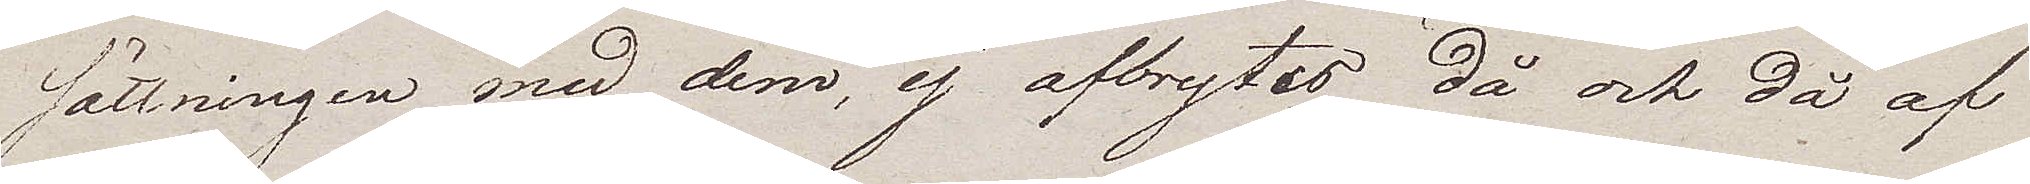sättningen med dem, ej afbrytes då och då af
